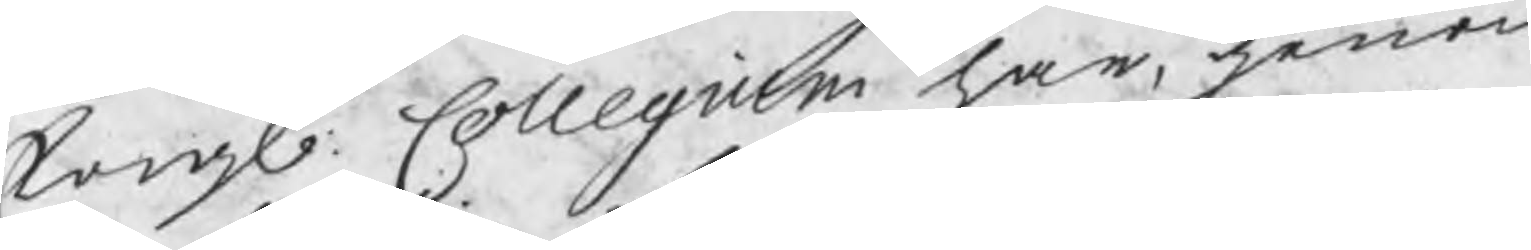Kongl: Collegium har, genom
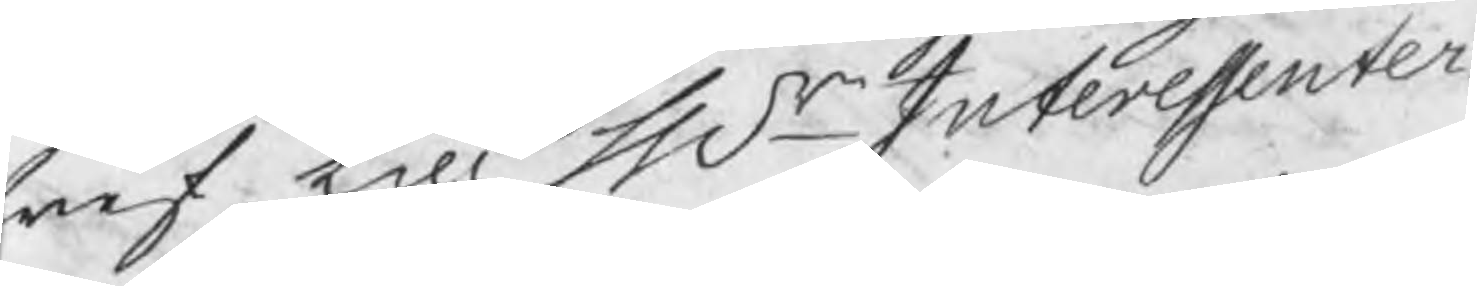bref till Hrr Interessenter¬
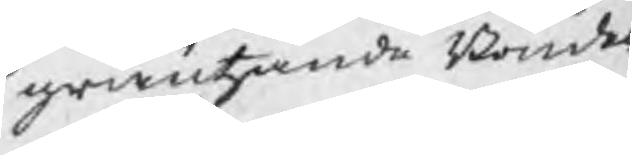gräntzande Bönder
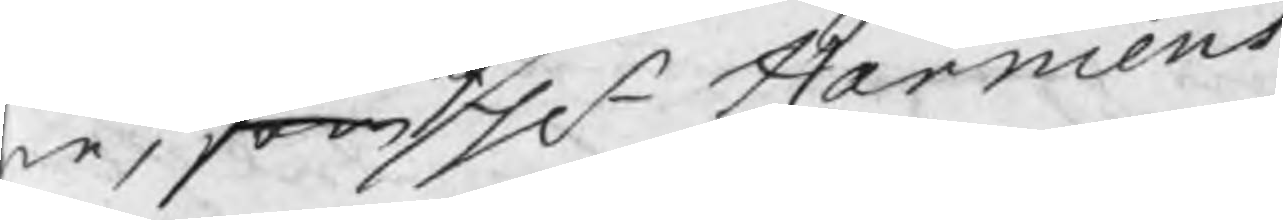ne, som Hr Harmens
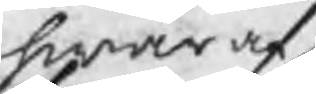hwar af
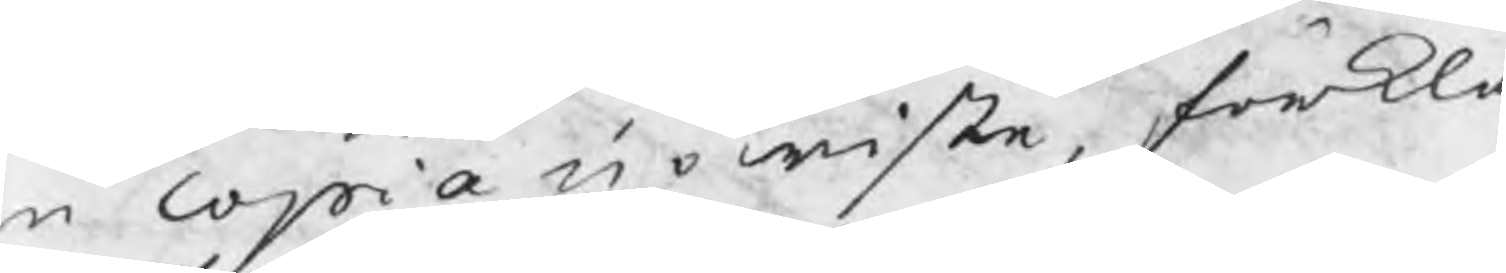n copia up wiste, förkla¬
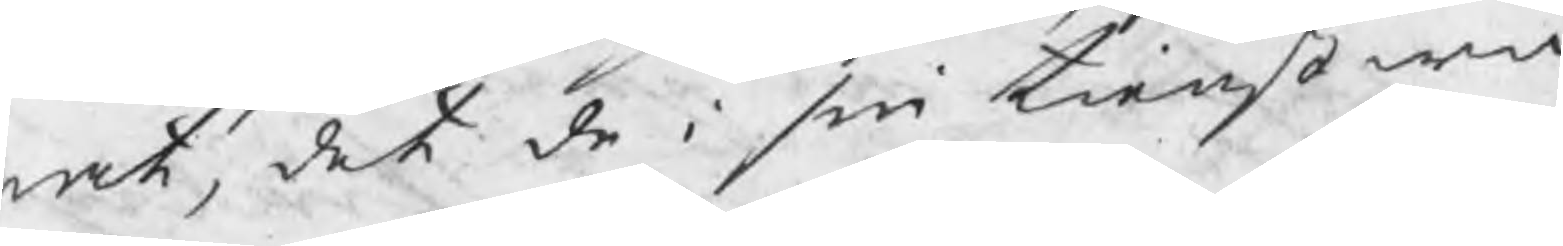rat, det de i sin tienst wid
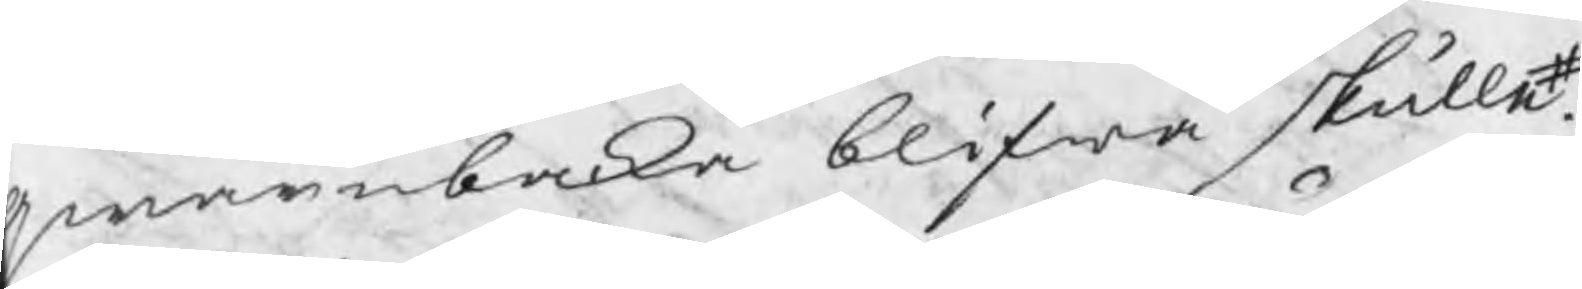qwarnbacka blifwa skulle#.
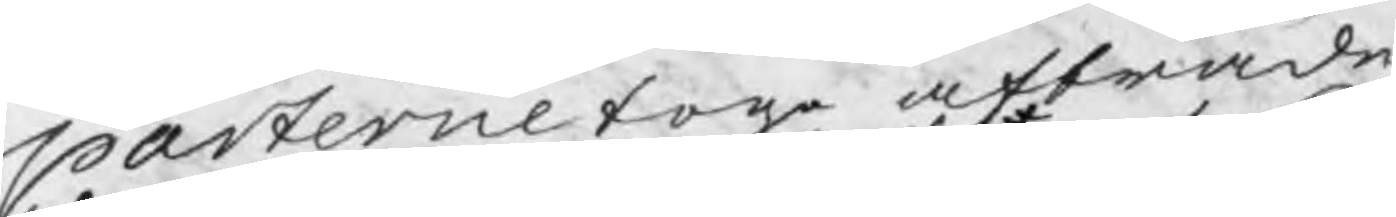parterne togo afträde
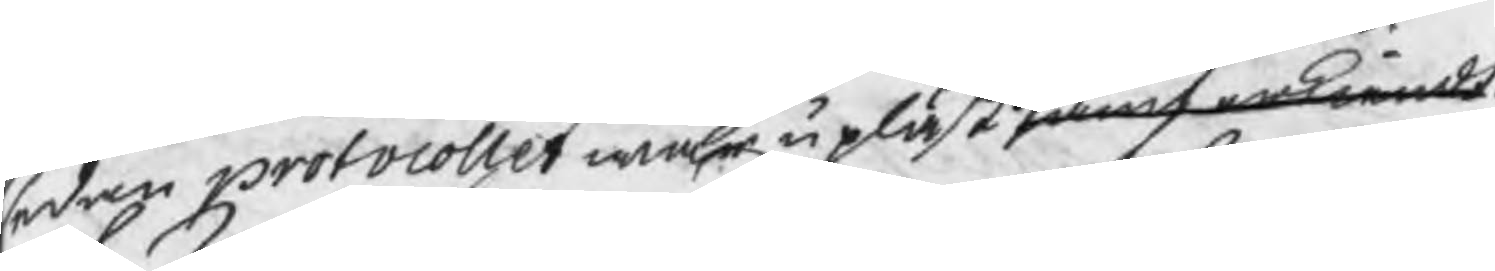sedan protocollet war upläst samt erkiendt.
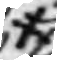/
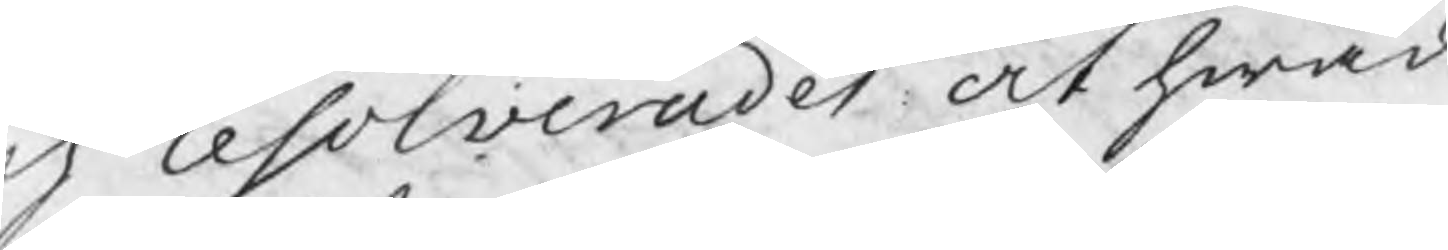och resolverades at hwad
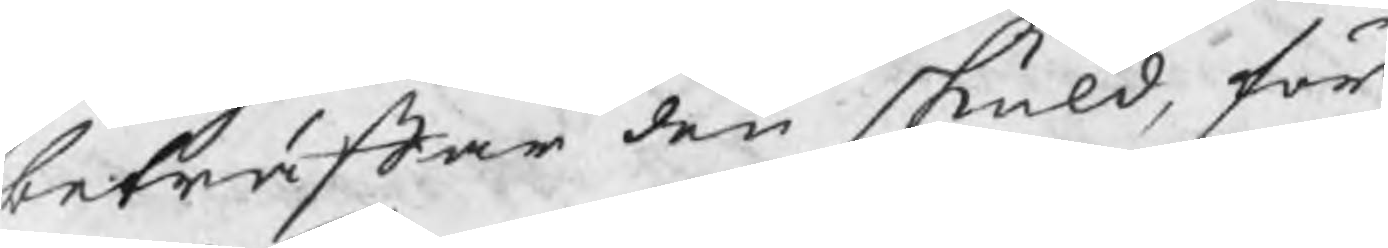beträffar den skuld, för
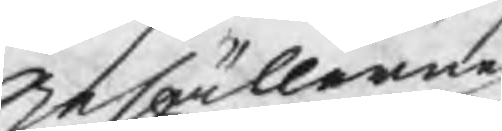gesällerne
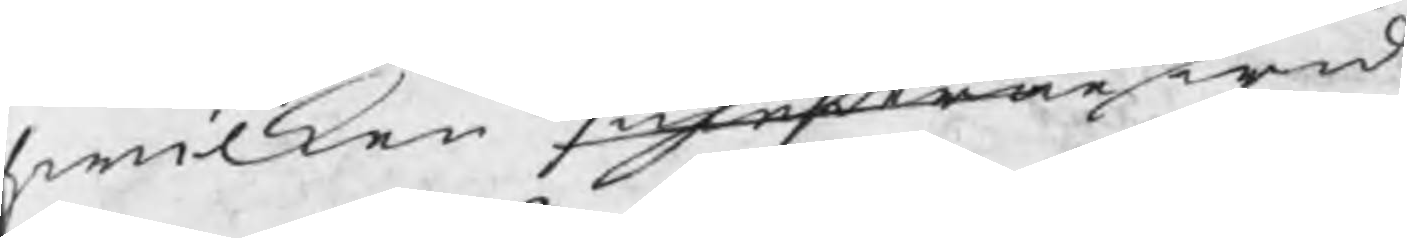hwilken smederne wid
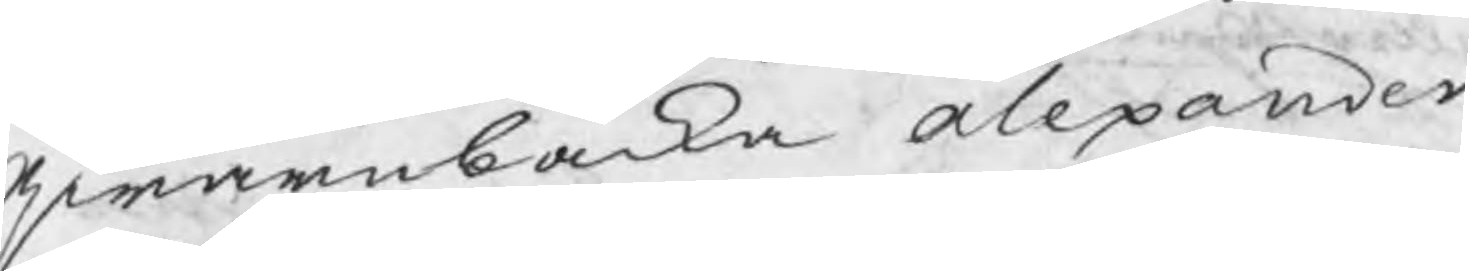Qwarnbacka alexander
